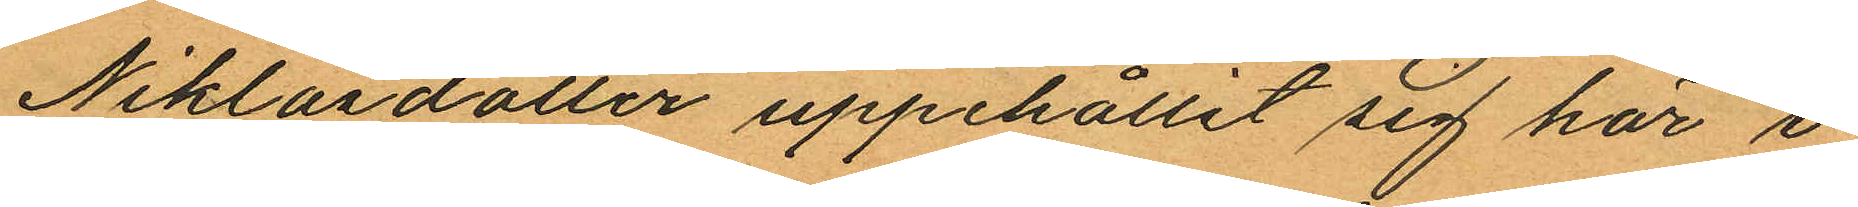Niklasdotter uppehållit sig här i
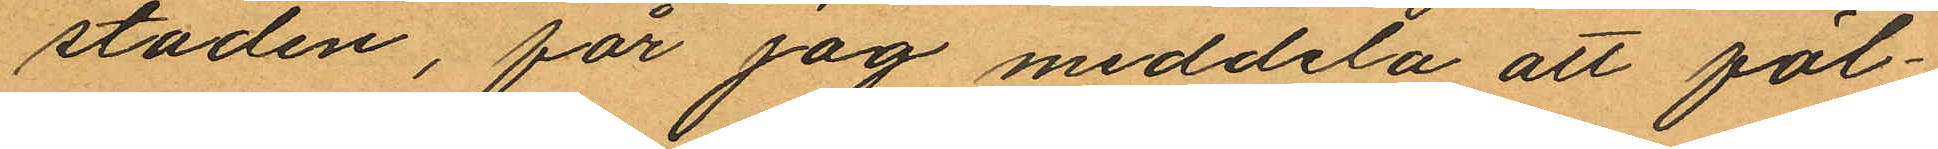staden, får jag meddela att föl¬
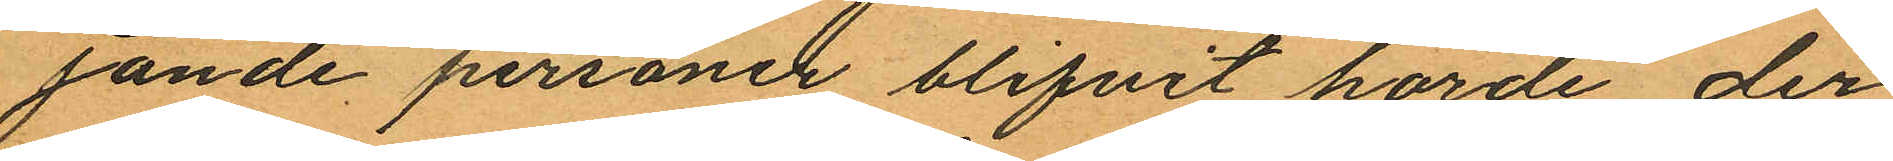jande personer blifvit hörde der¬
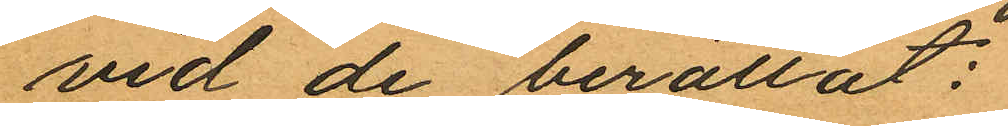vid de berättat:
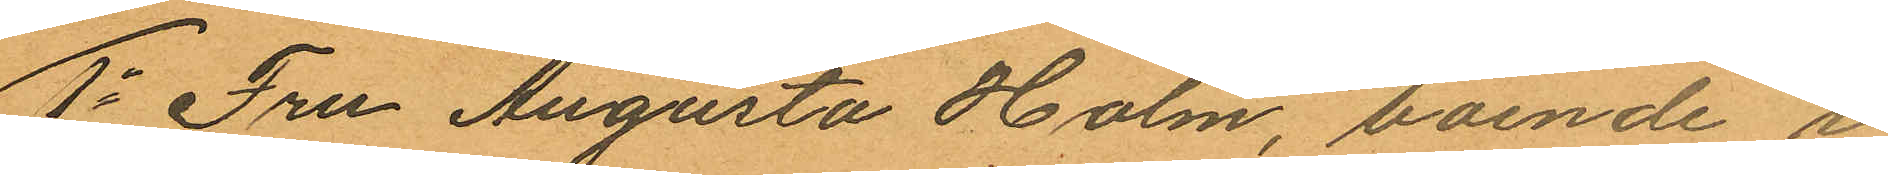1o Fru Augusta Holm, boende i
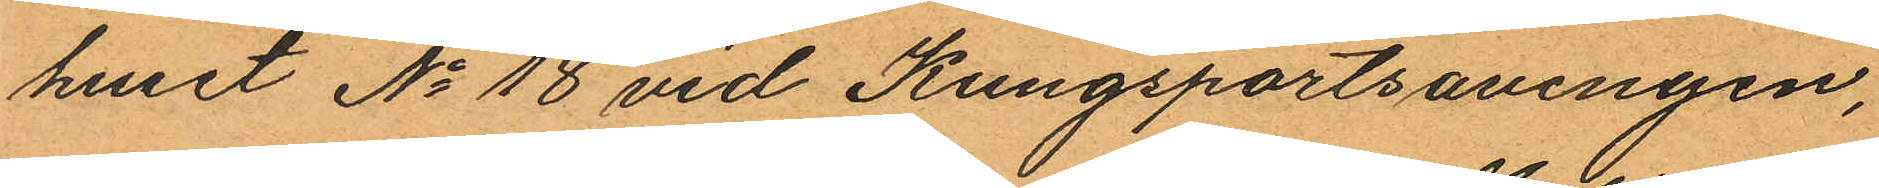huset No 18 vid Kungsportsavenyen,
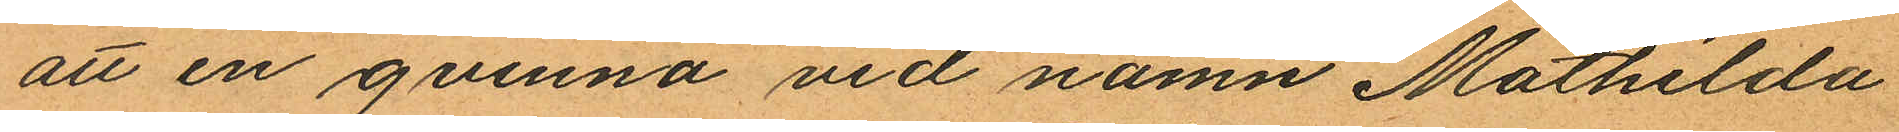att en qvinna vid namn Mathilda
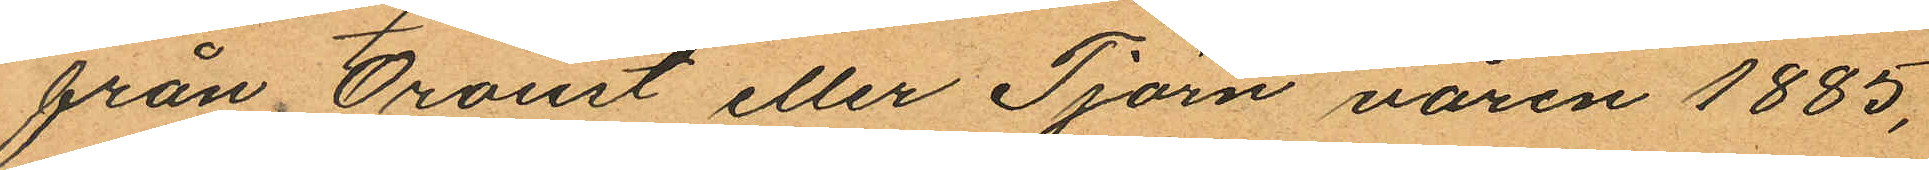från Oroust eller Tjörn våren 1885,
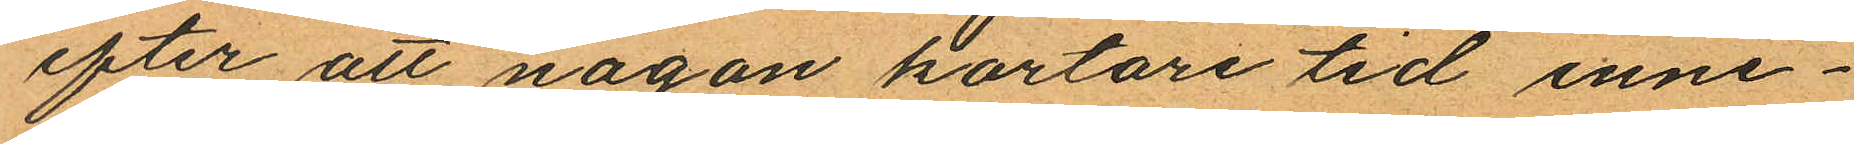efter att någon kortare tid inne¬
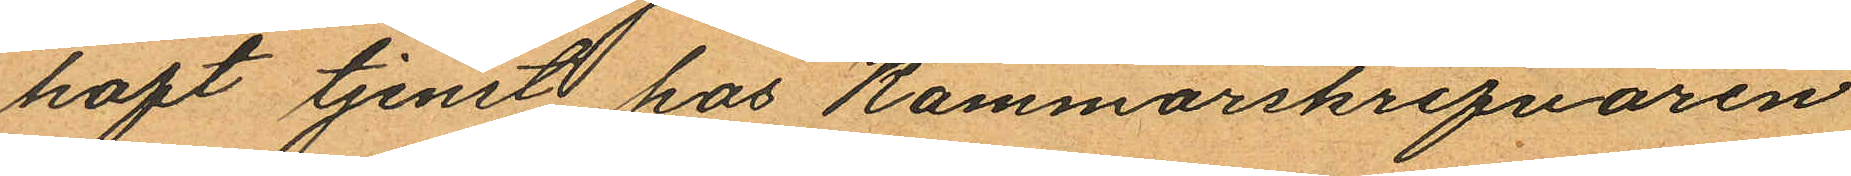haft tjenste hos Kammarskrifvaren
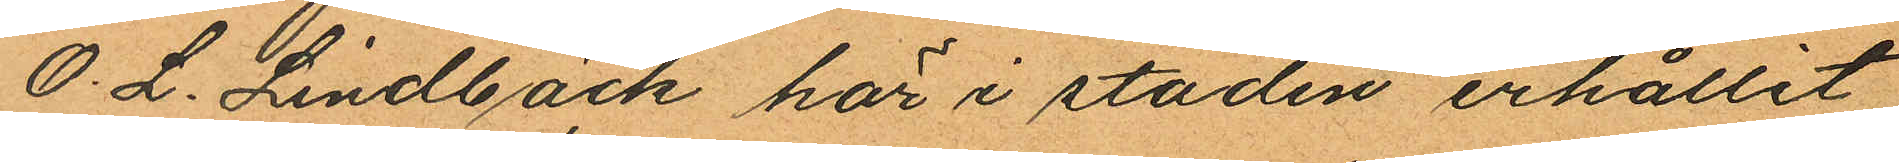O. L. Lindbäck här i staden erhållit
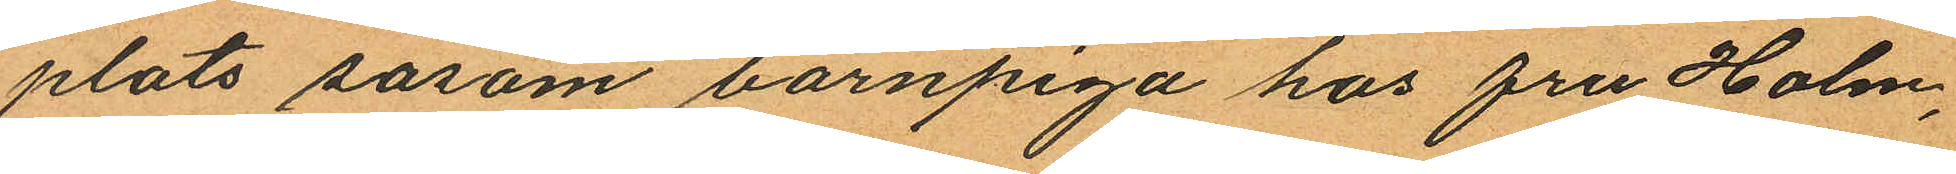plats såsom barnpiga hos fru Holm,
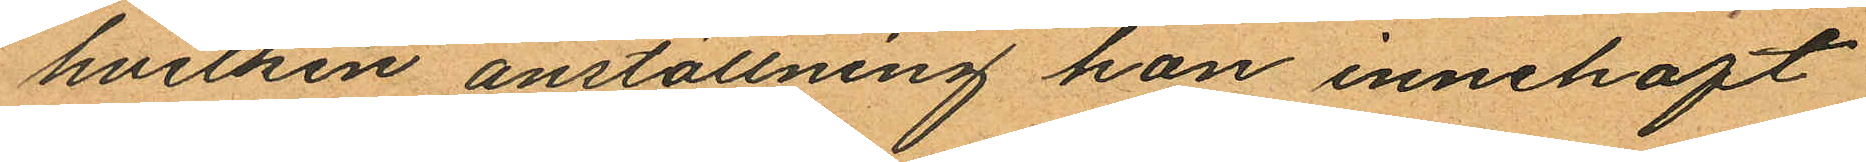hvilken anställning hon innehaft
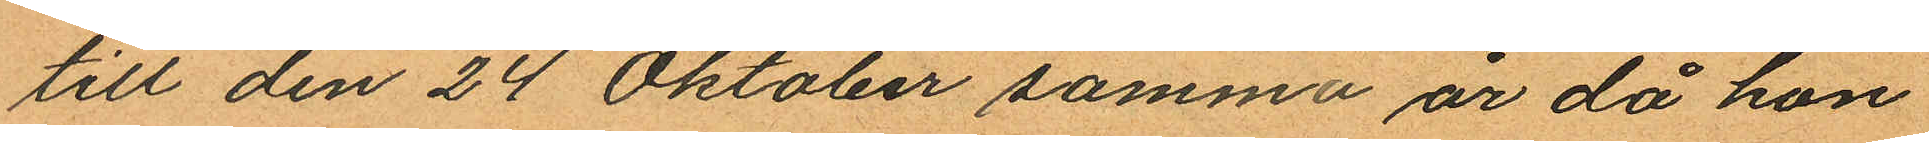till den 24 Oktober samma år då hon
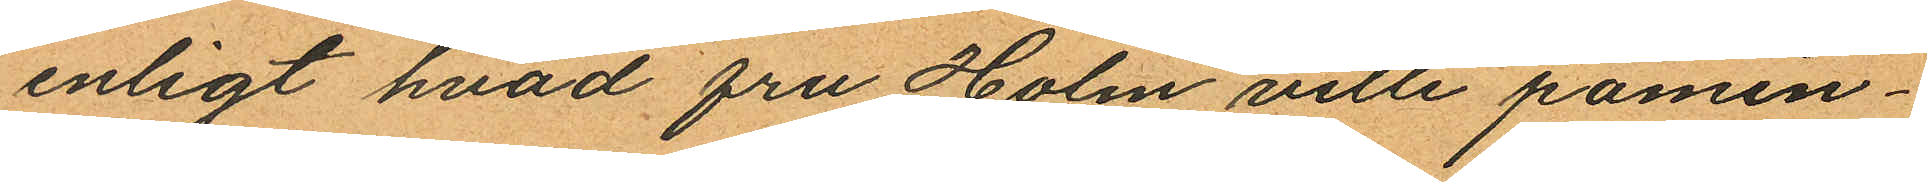enligt hvad fru Holm ville påmin¬
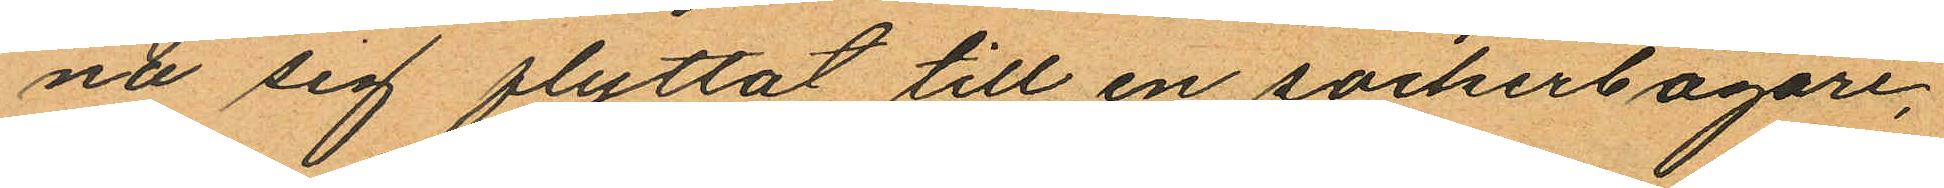na sig flyttat till en sockerbagare,
